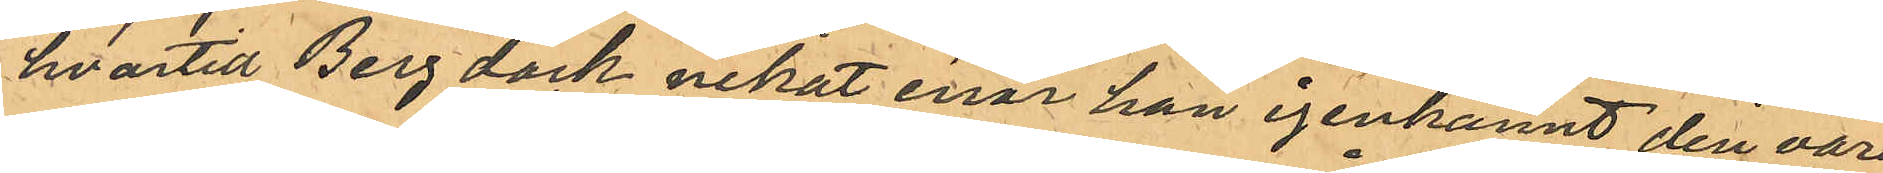hvartill Berg dock nekat enär han igenkännt den vara
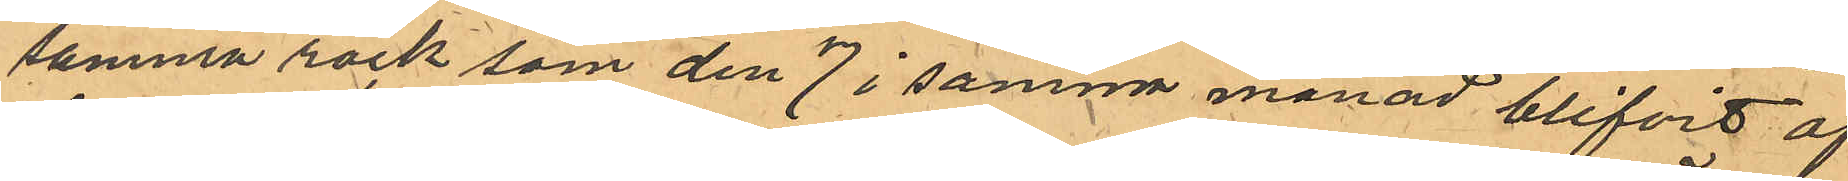samma rock som den 7 i samma månad blifvit af
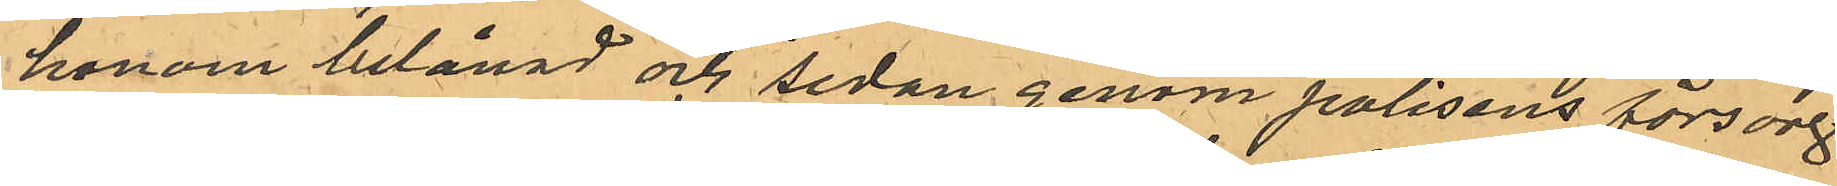honom belånad och sedan genom polisens försorg
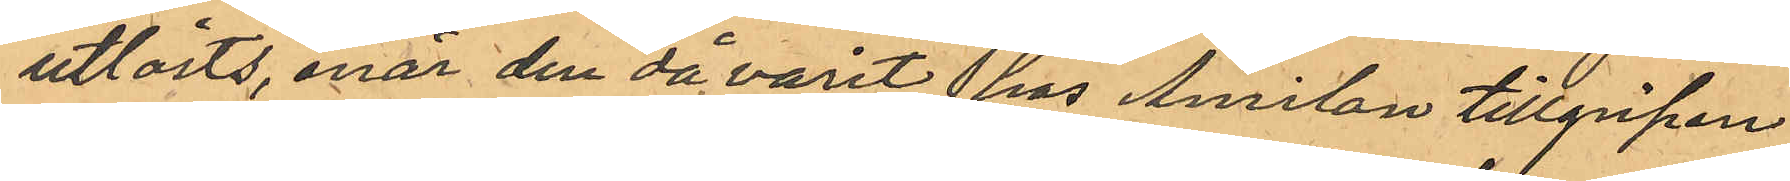utlösts, enär den då varit hos Amilon tillgripen.
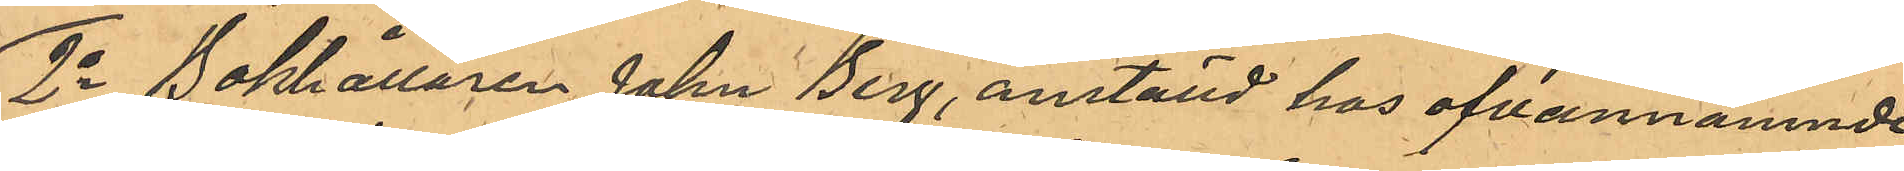2o Bokhållaren John Berg, anställd hos ofvannämnde
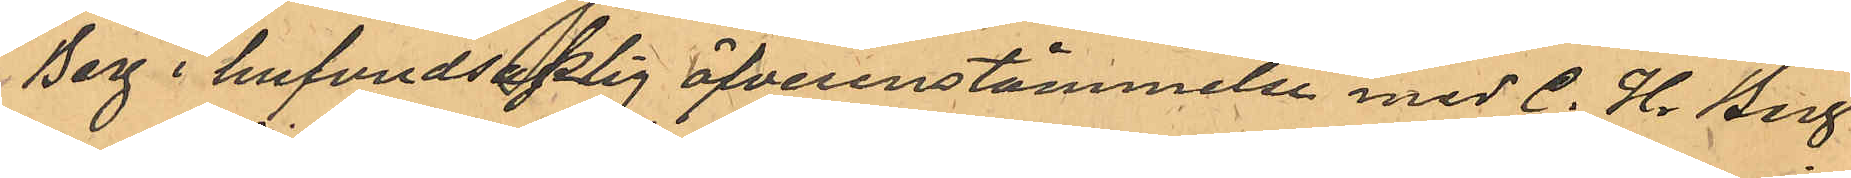Berg i hufvudsaklig öfverensstämmelse med C. H. Berg,
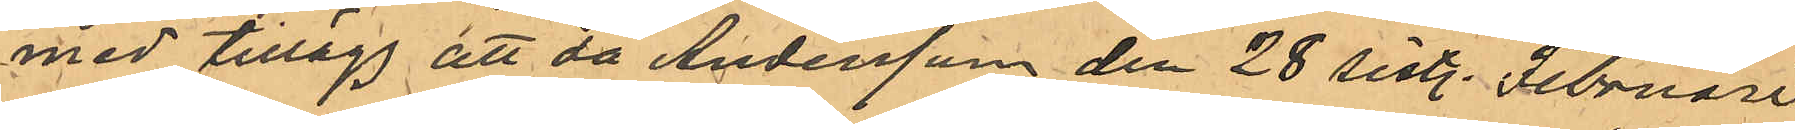med tillägg att då Andersson den 28 sistl. Februari
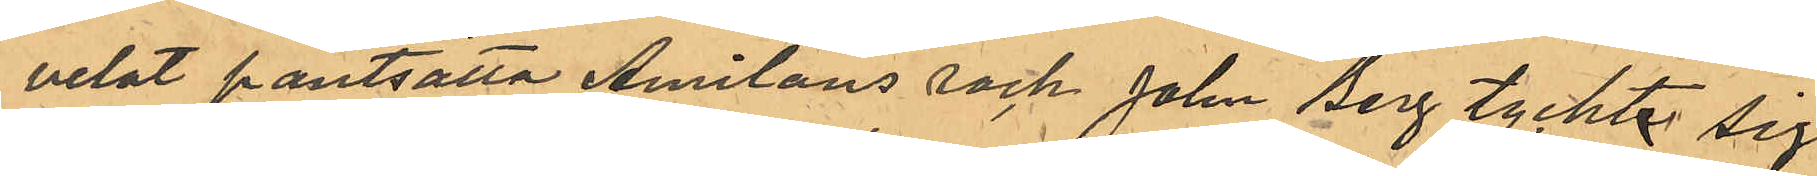velat pantsätta Amilons rock, John Berg tyckte sig
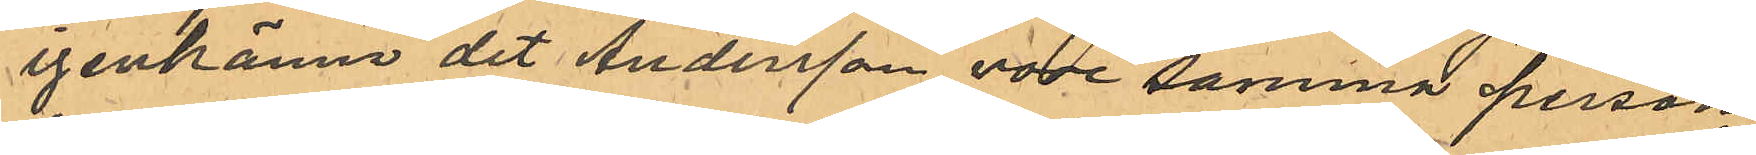igenkänna det Andersson vore samma person
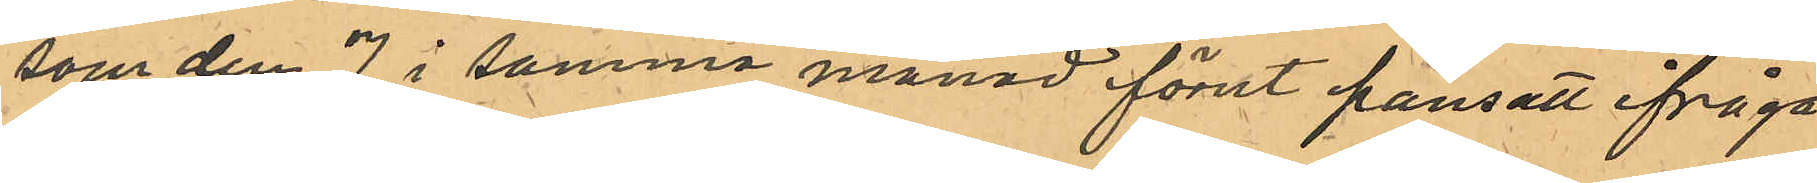som den 7 i samma månad förut pantsatt ifråga¬
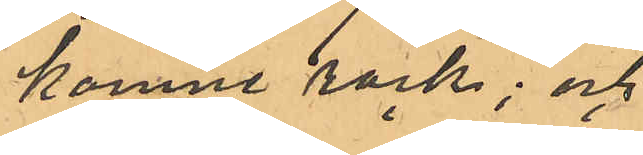komne rock; och
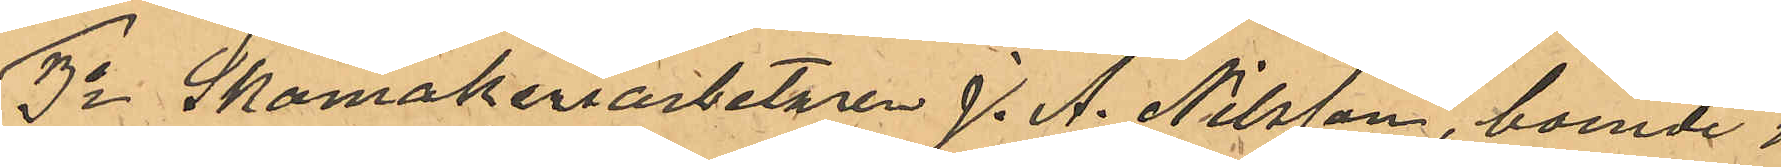3o Skomakeriarbetaren J. A. Nilsson, boende i 
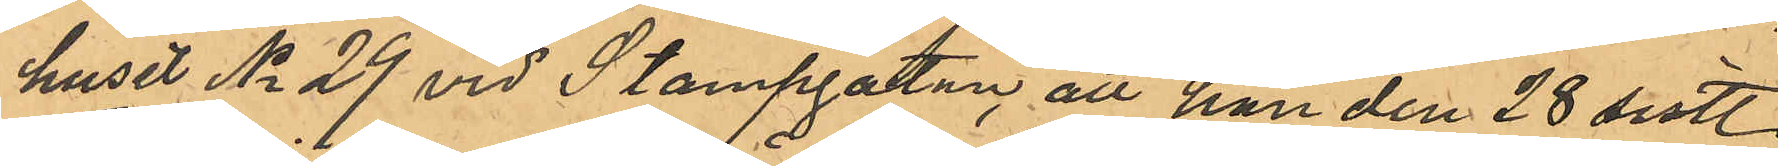huset No 29 vid Stampgatan, att han den 28 sist.
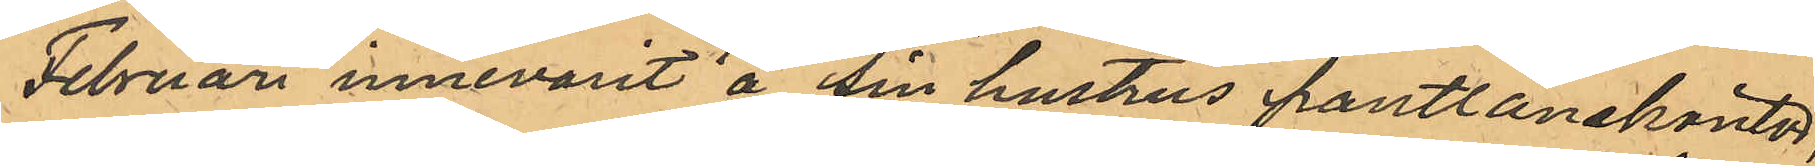Februari innevarit å sin hustrus pantlånekontor,
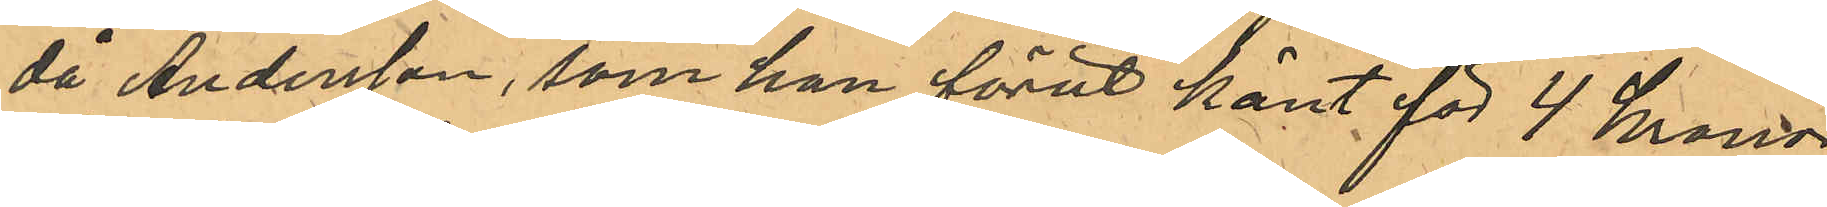då Andersson, som han förut känt för 4 kronor
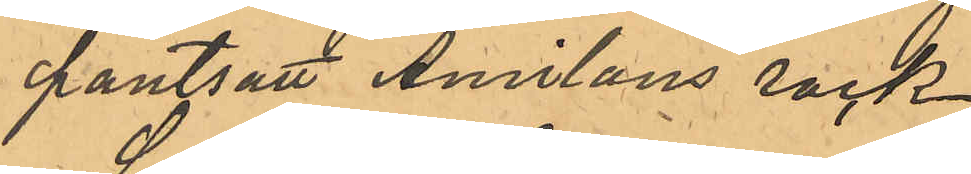pantsatt Amilons rock.
